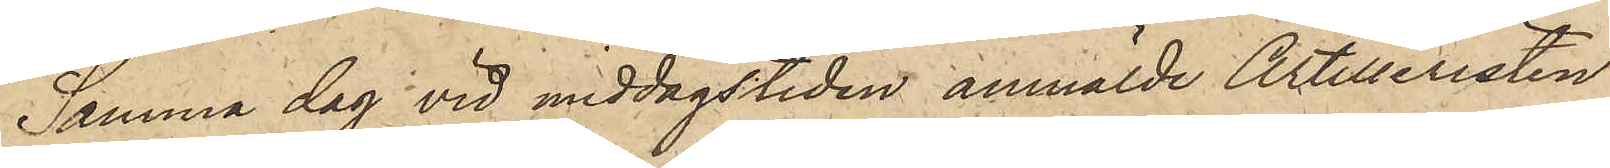Samma dag vid middagstiden anmälde Artilleristen
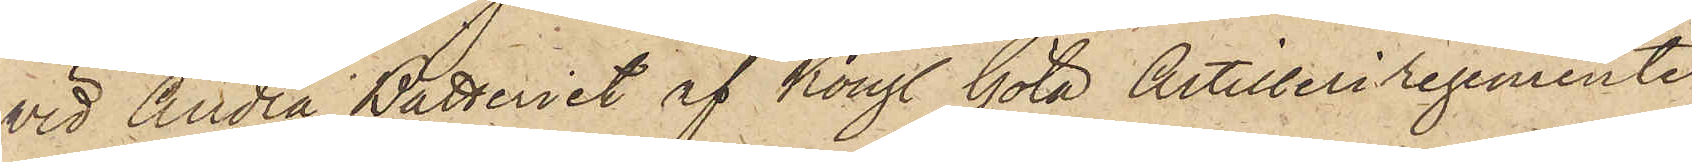vid Andra Batteriet af Kongl. Göta Artilleriregemente
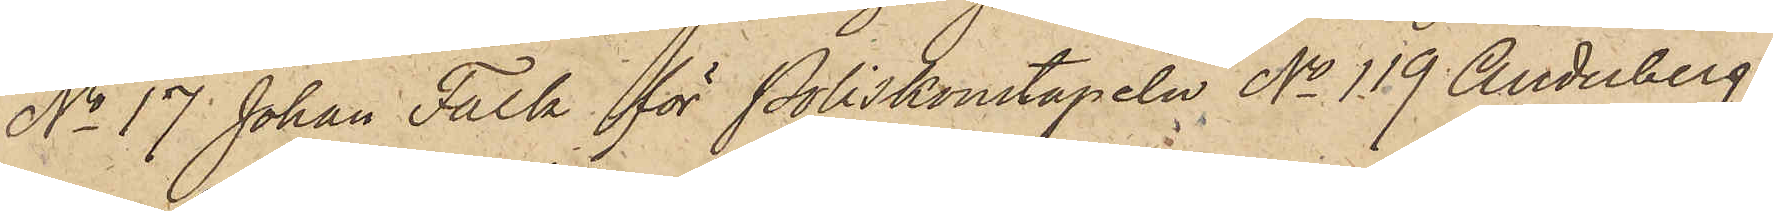No 17 Johan Falk för Poliskonstapeln No 119 Anderberg,
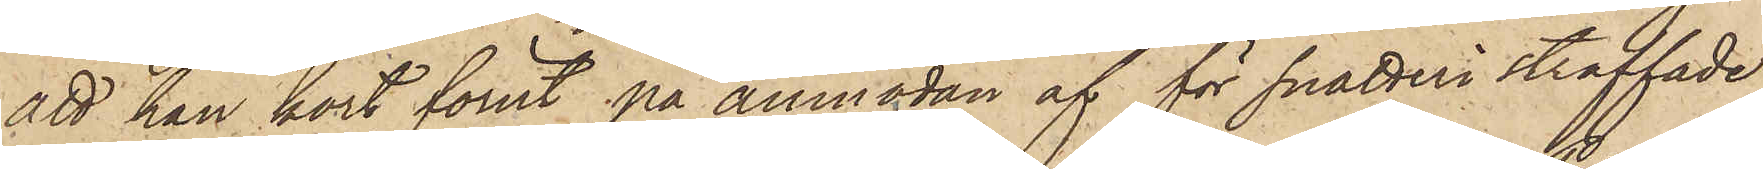att han kort förut på anmodan af för snatteri straffade
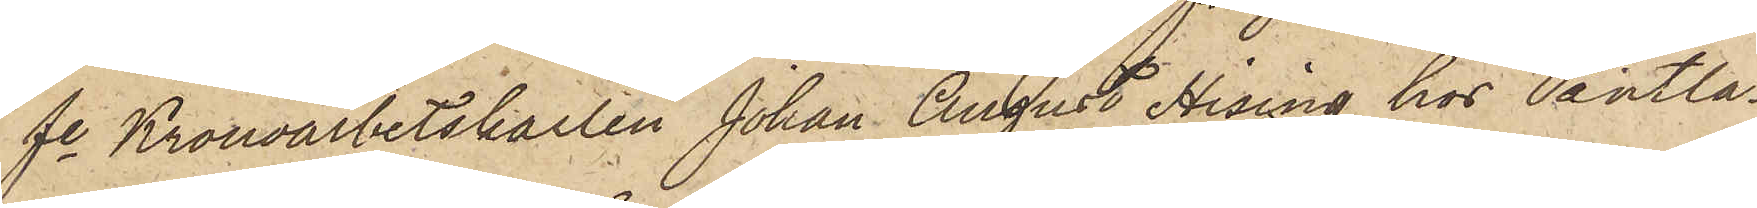fe Kronoarbetskarlen Johan August Hising hos Pantlå¬
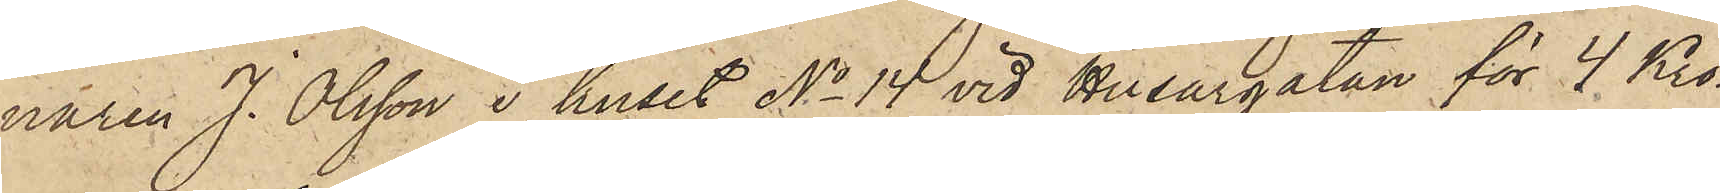naren J. Olsson i huset No 14 vid Husargatan för 4 Kro¬
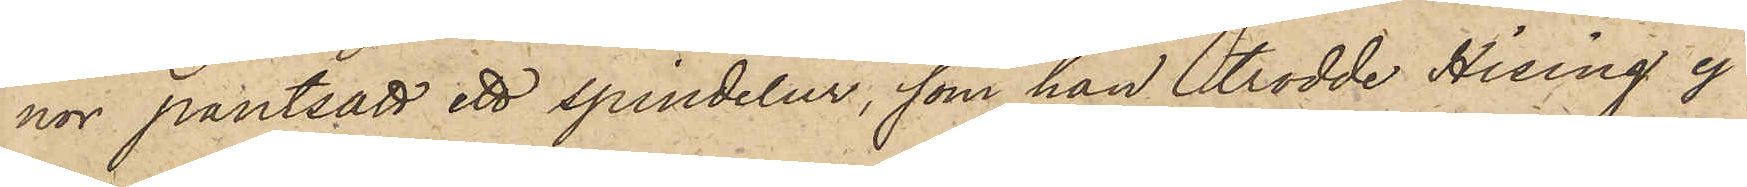nor pantsatt ett spindelur, som han trodde Hising ej
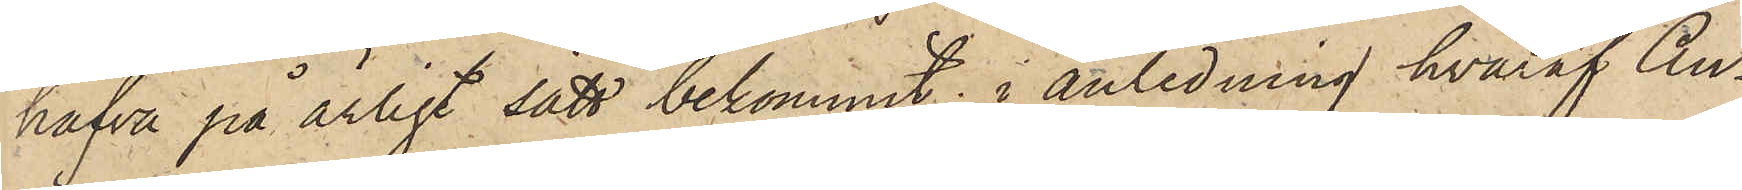hafva på ärligt sätt bekommit, i anledning hvaraf An¬
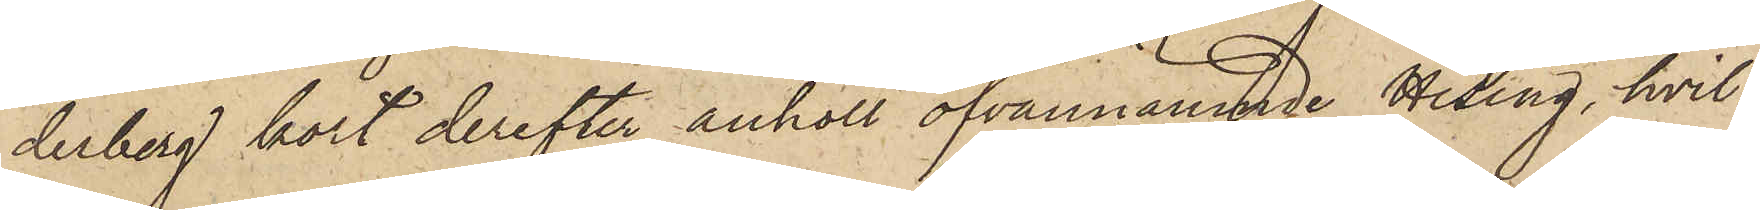derberg kort derefter anhöll ofvannämnde Hising, hvil¬
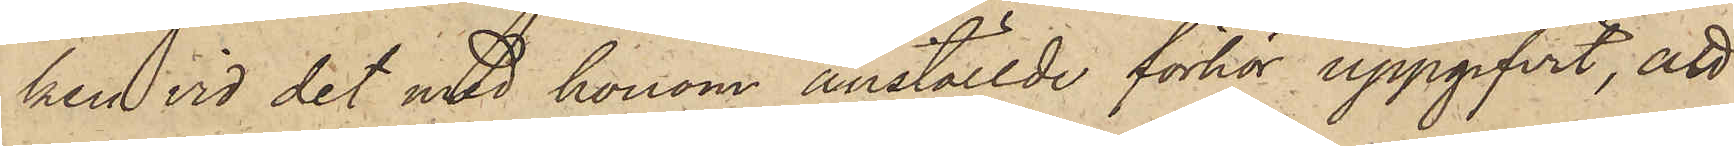ken vid det med honom anställde förhör uppgifvit, att
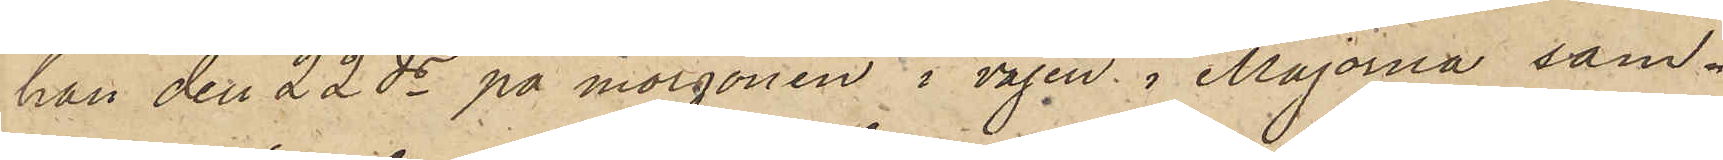han den 22 ds på morgonen i vägen i Majorna sam¬
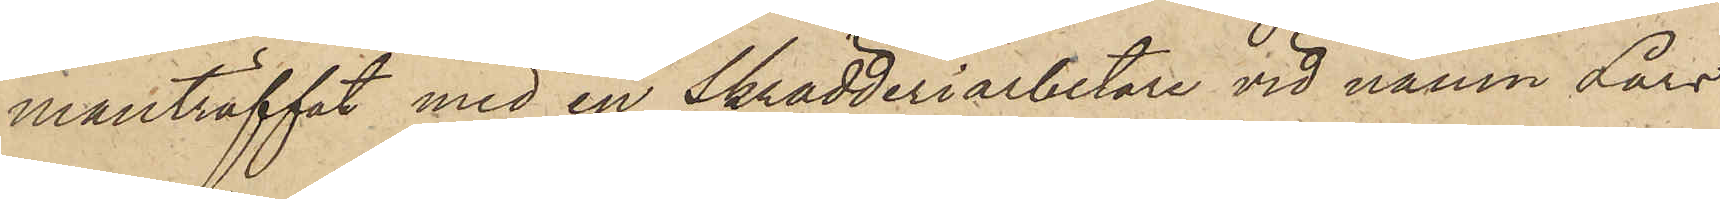manträffat med en Skrädderiarbetare vid namn Lars
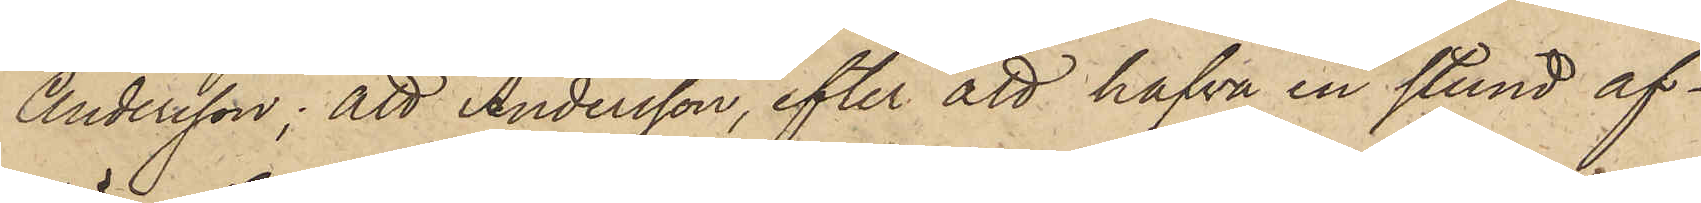Andersson; att Andersson, efter att hafva en stund af¬
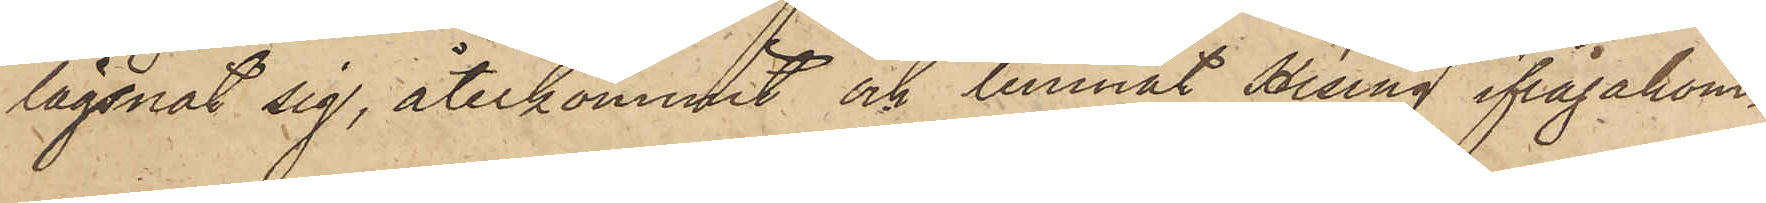lägsnat sig, återkommit och lemnat Hising ifrågakom¬
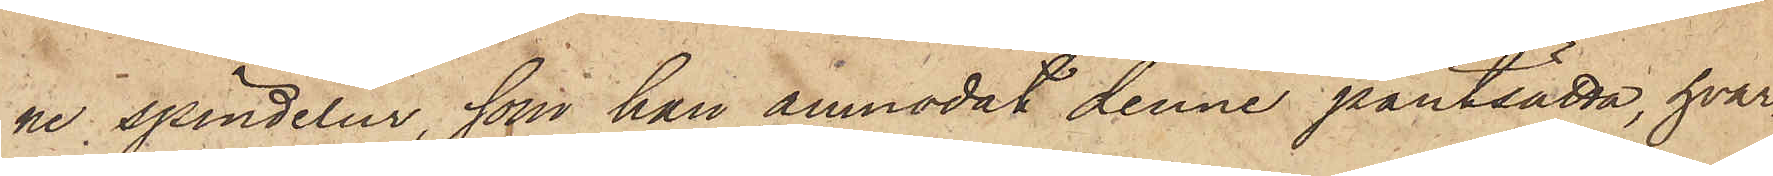ne spindelur, som han anmodat denne pantsätta, hvar¬
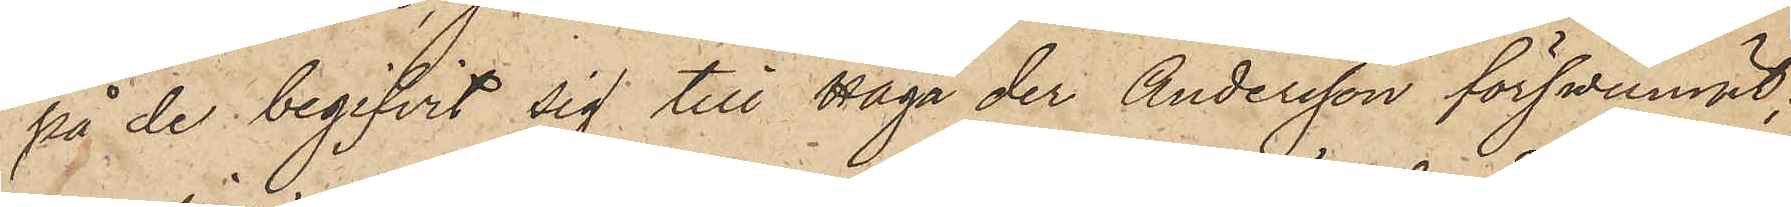på de begifvit sig till Haga der Andersson försvunnit;
